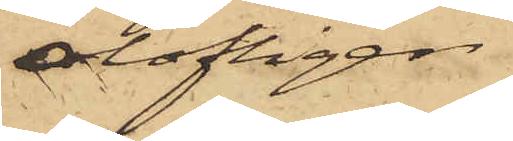olofligen
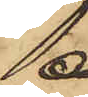å
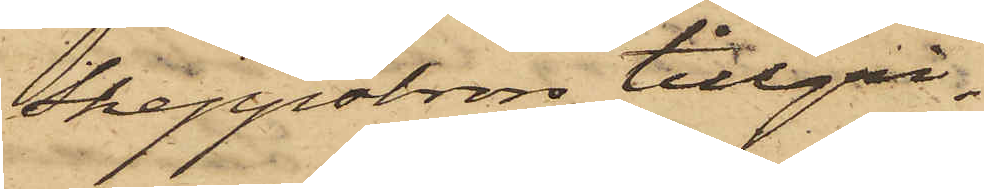Skeppsbron tillgri¬
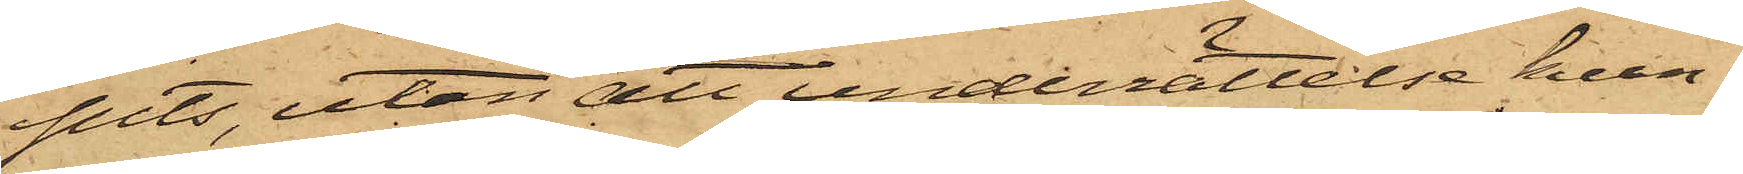pits, utan att underrättelse kun¬
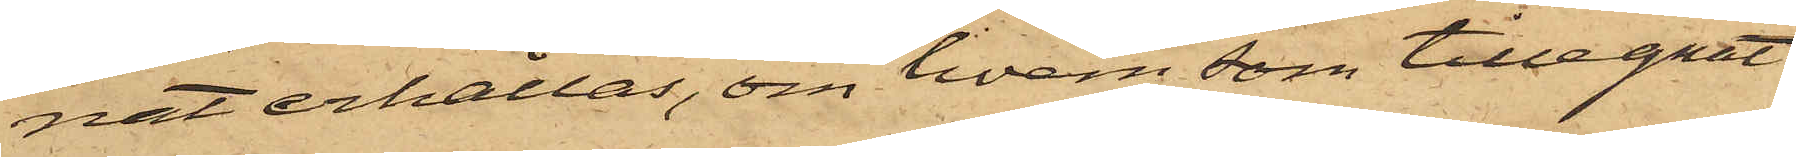nat erhållas, om hvem som tillegnat
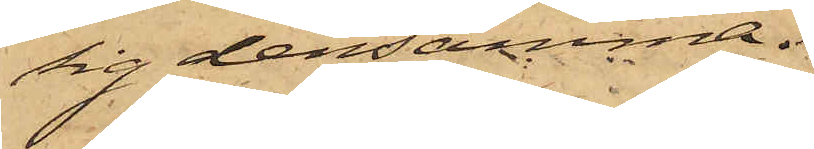sig densamma.
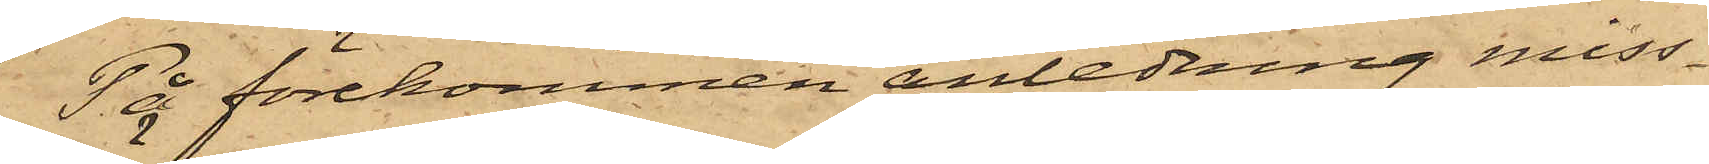På förekommen anledning miss¬
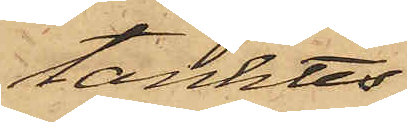tänktes
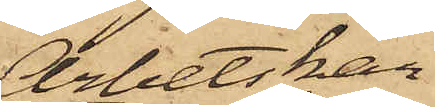Arbetskar¬
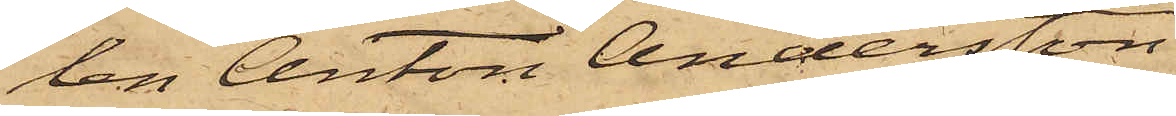len Anton Andersson
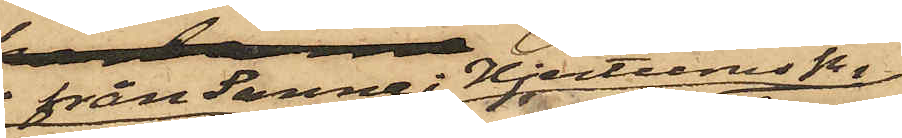från Sunne i Hjertums Sn
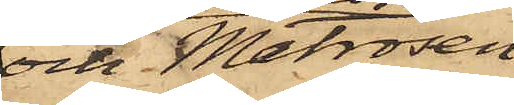och Matrosen
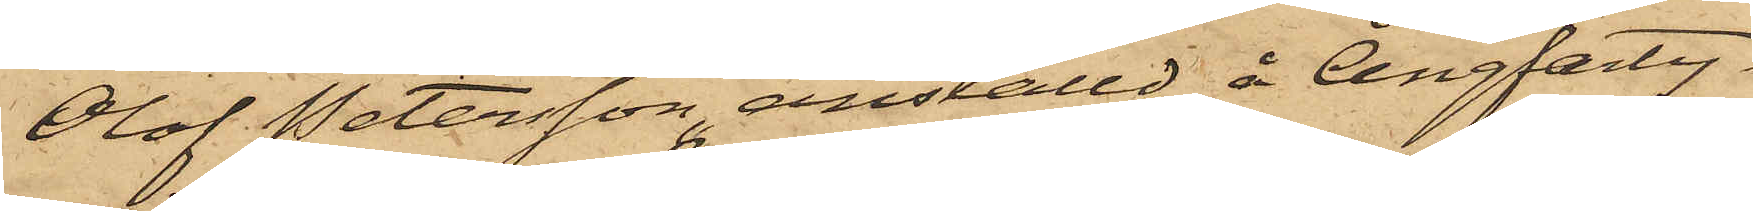Olof Petersson, anställd å Ångfarty¬
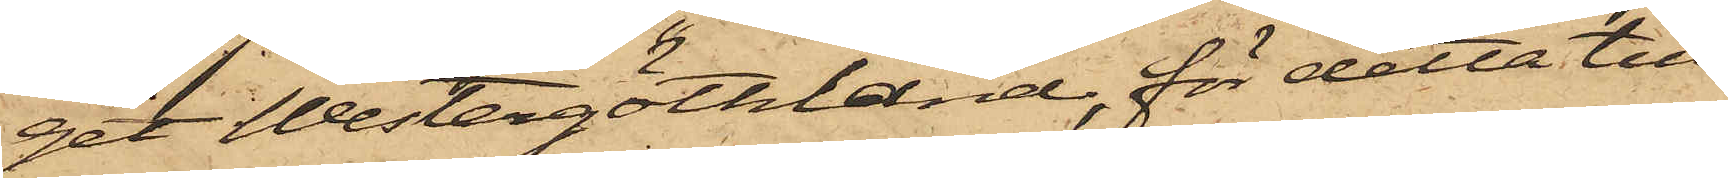get Westergötland, för detta till¬
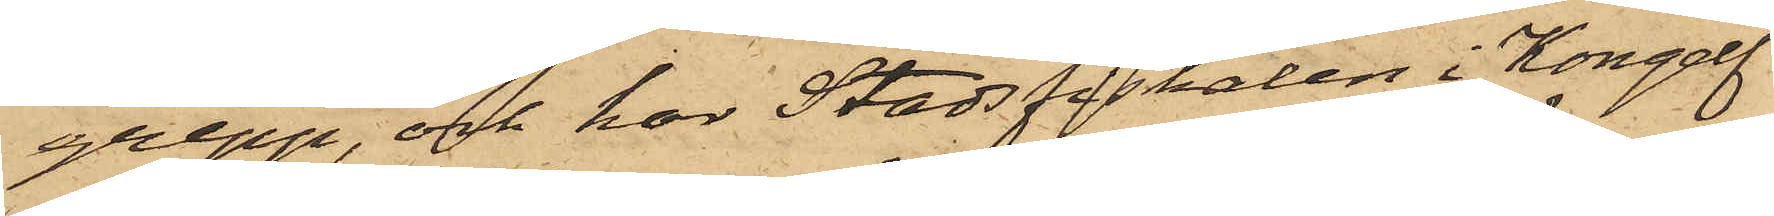grepp, och har Stadsfiskalen i Kongelf
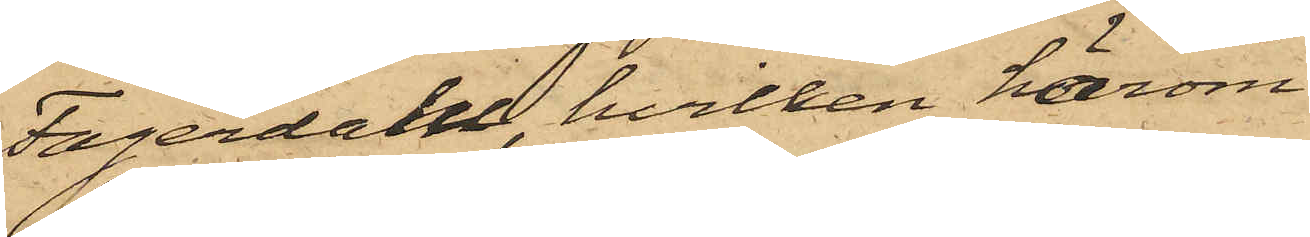Fagerdahl, hvilken härom
